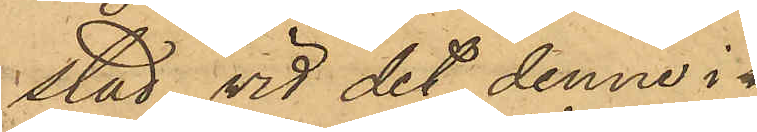stad, vid det denne i
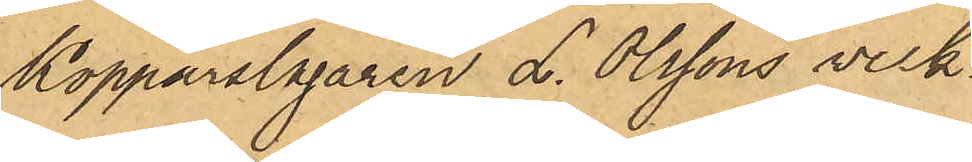Kopparslagaren L. Olssons verk¬
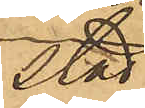stad
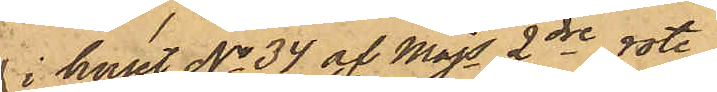i huset No 34 af Majs 2dre rote
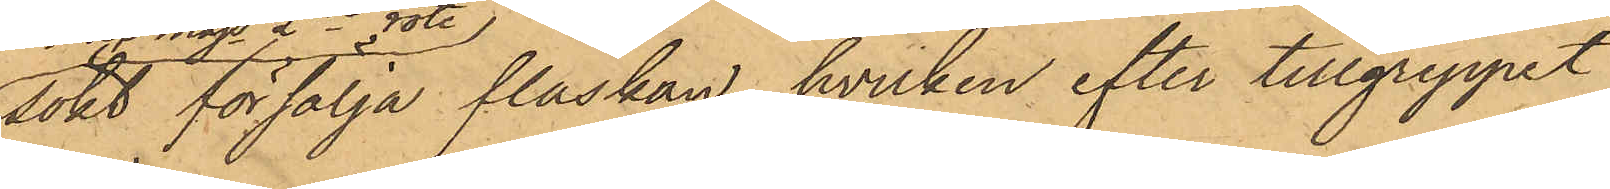sökt försälja flaskan, hvilken efter tillgreppet
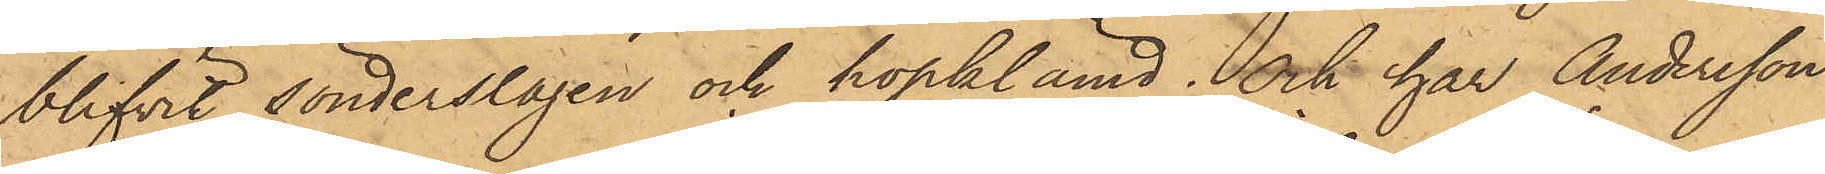blifvit sönderslagen och hopklämd; och har Andersson
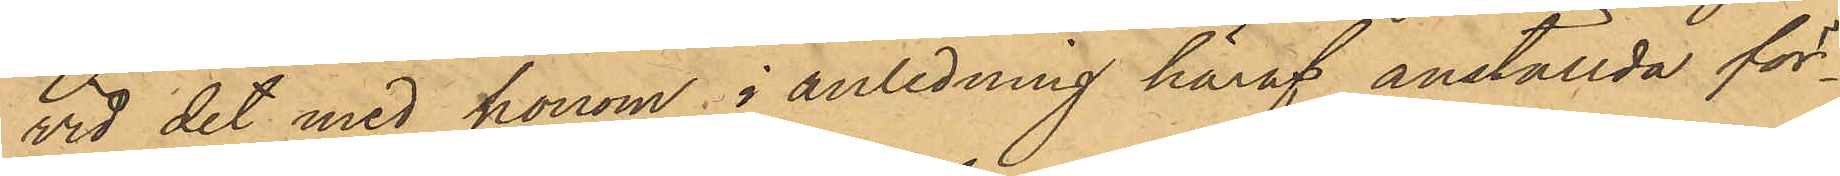vid det med honom i anledning häraf anställda för¬
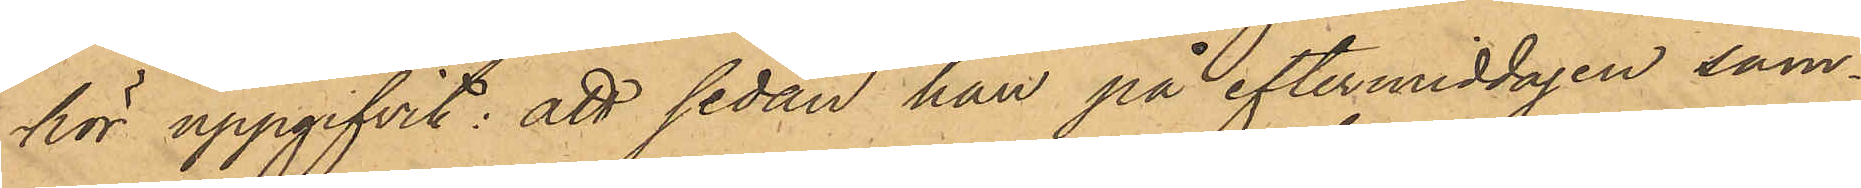hör uppgifvit: att sedan han på eftermiddagen sam¬
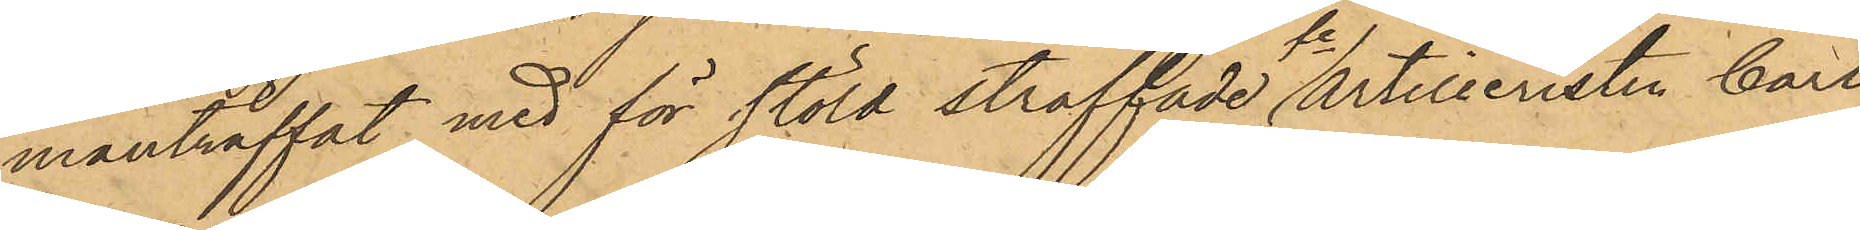manträffat med för stöld straffade Artilleristen Carl
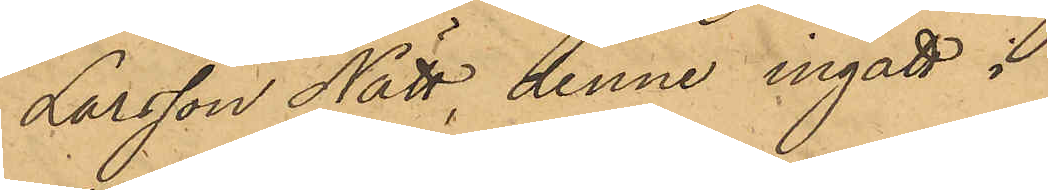Larsson Nätt, denne ingått i
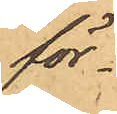för¬
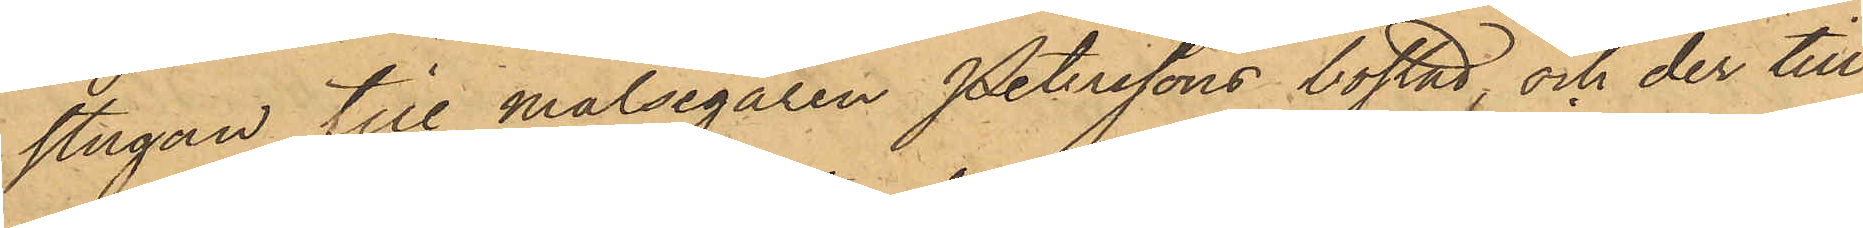stugan till målsegaren Peterssons bostad, och der till¬
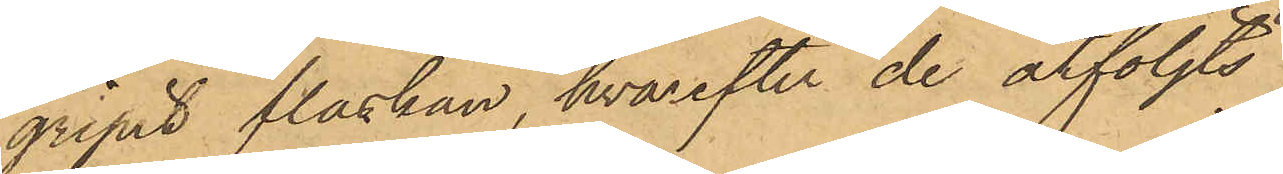gripit flaskan, hvarefter de åtföljts
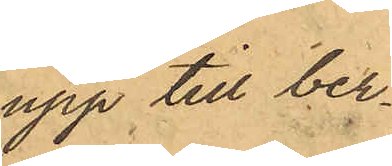upp till ber¬
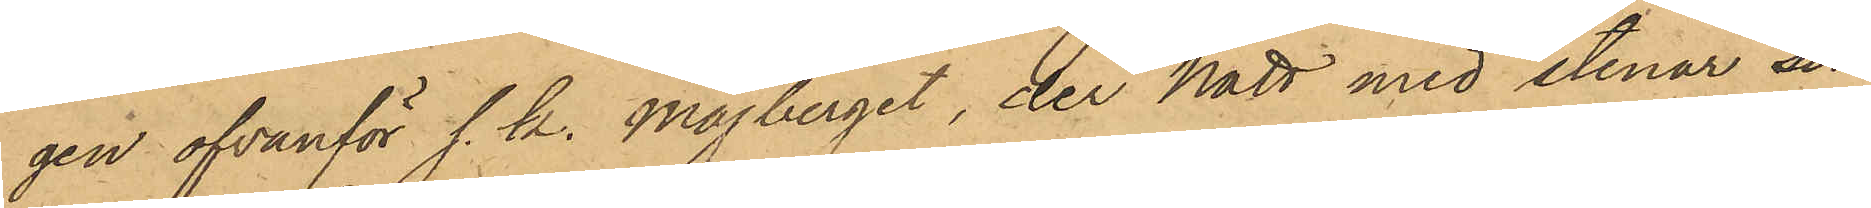gen ofvanför s. k. Majberget, der Nätt med stenar sön¬
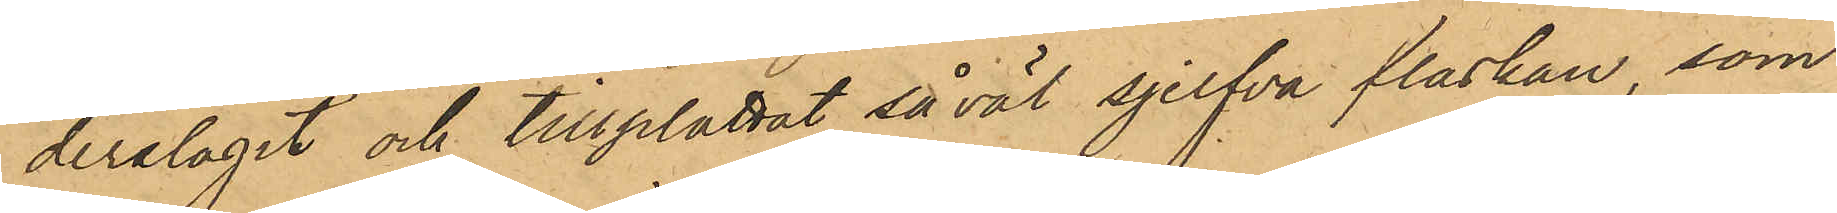derslagit och tillplattat såväl sjelfva flaskan, som
